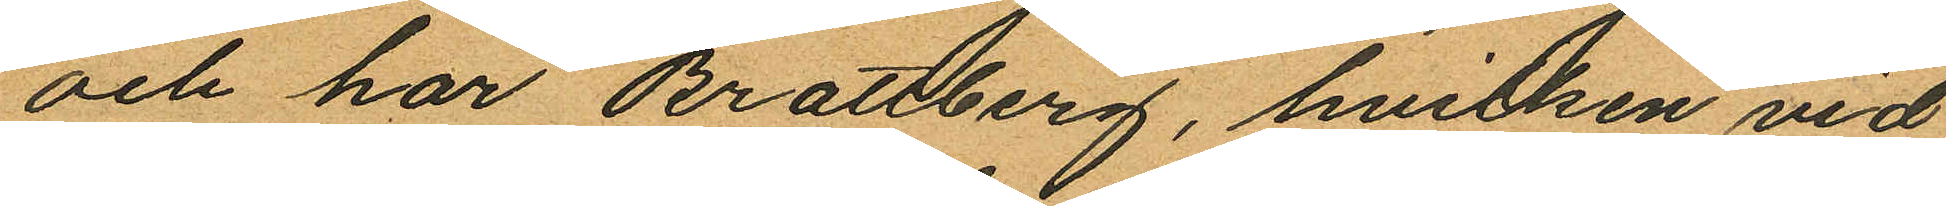och har Brattberg, hvilken vid
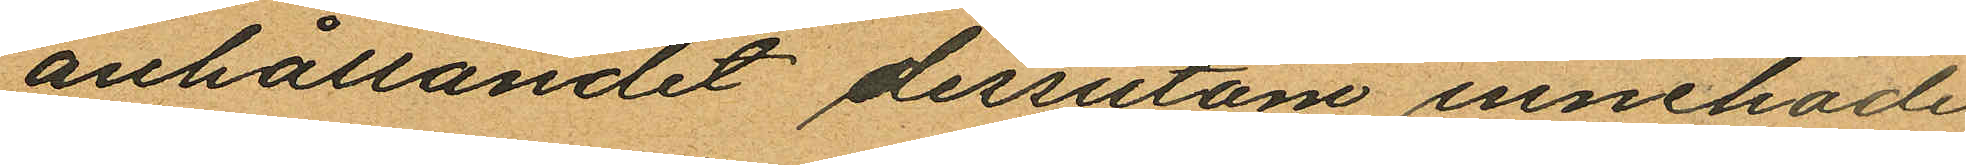anhållandet dessutom innehade
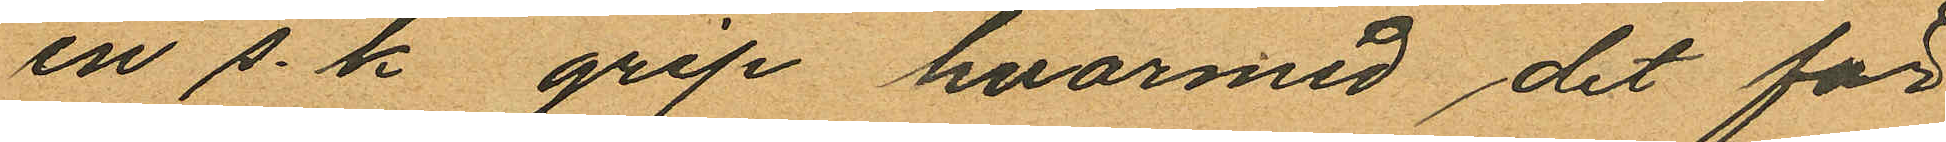en s. k. grip hvarmed det för
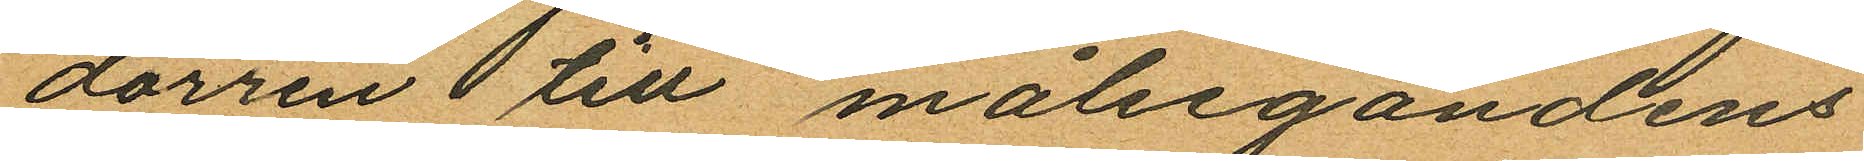dörren  till målsegandens
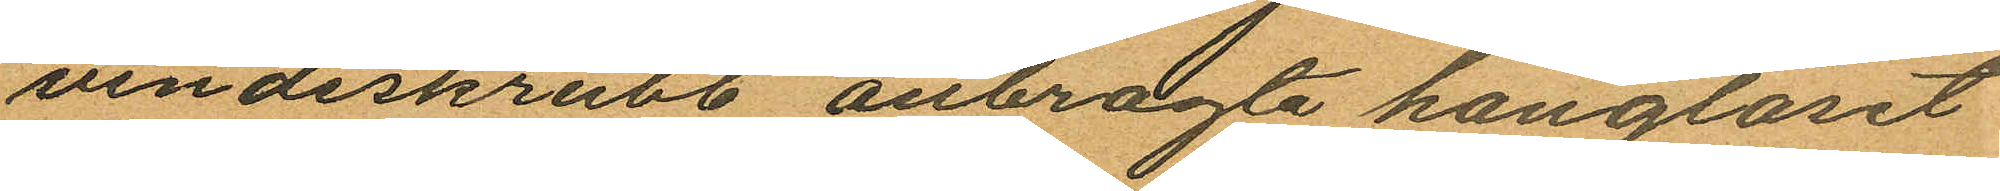vindsskrubb anbragte hänglåset
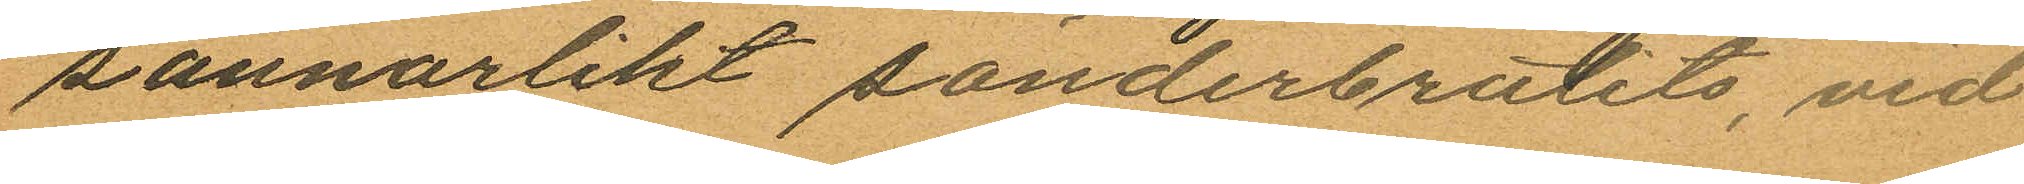sannorlikt sönderbrutits, vid
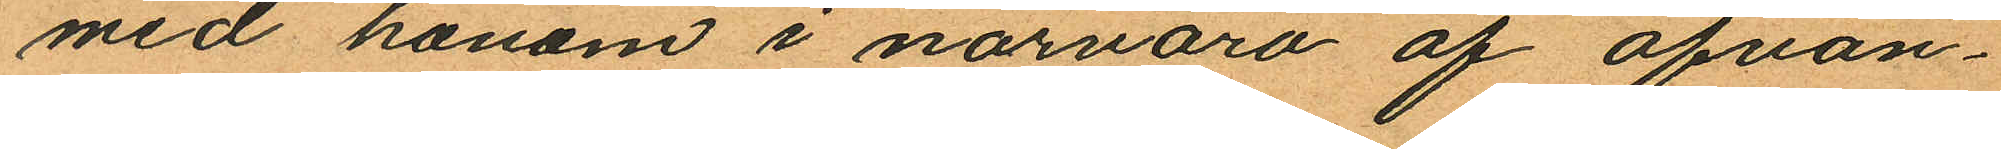med honom i närvaro af ofvan¬
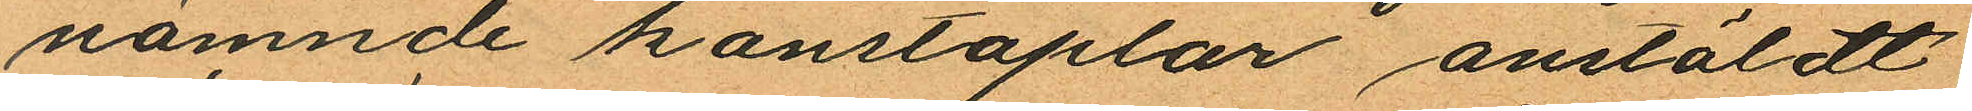nämnde konstaplar anstäldt
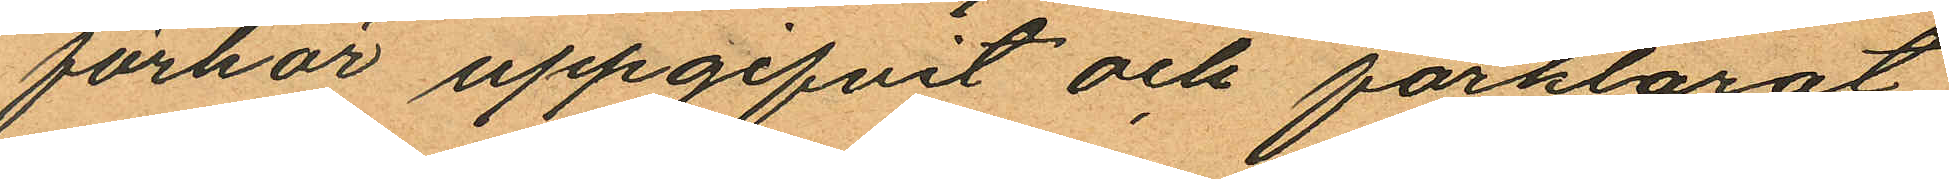förhör uppgifvit och förklarat
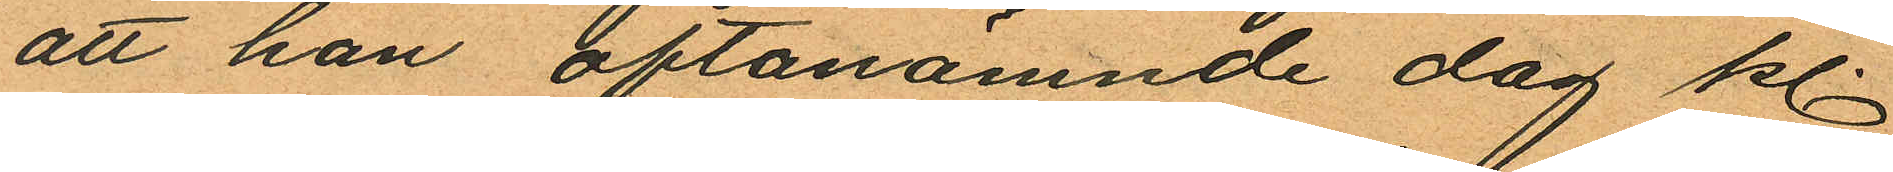att han oftanämnde dag kl.
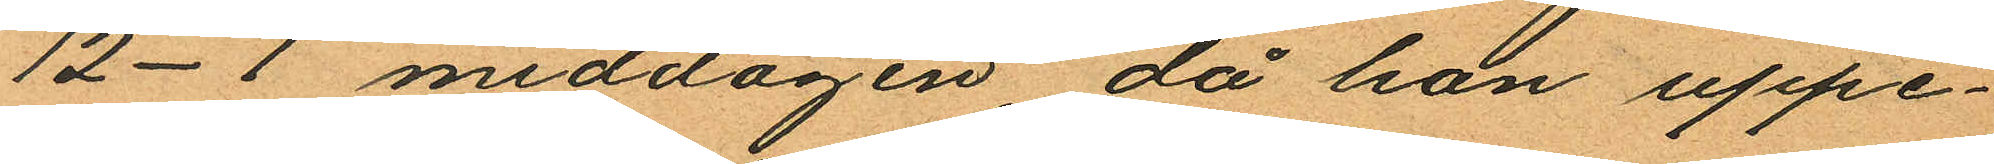12-1 middagen, då han uppe¬
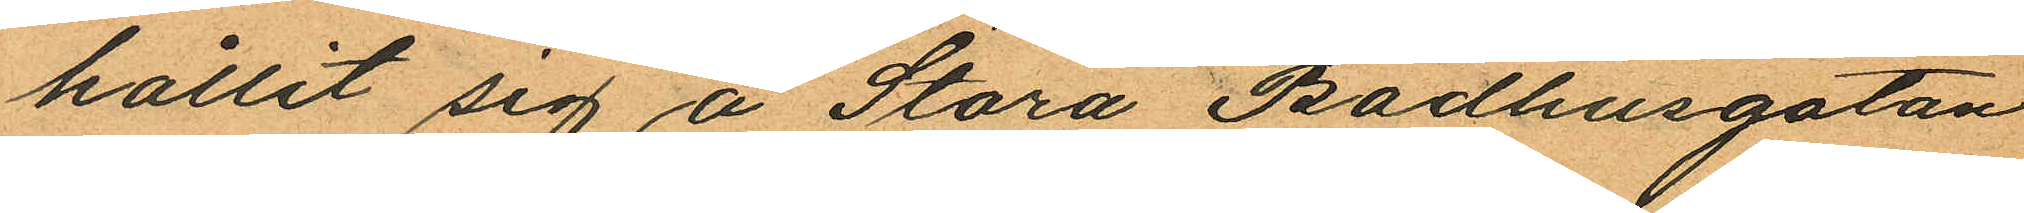hållit sig å Stora Badhusgatan
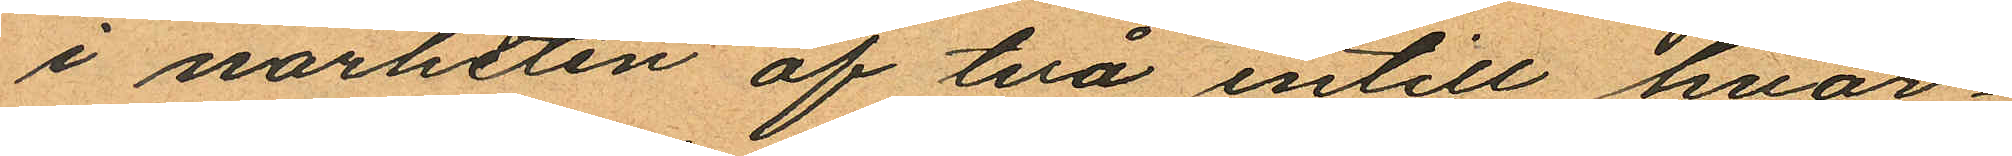i närheten af två intill hvar¬
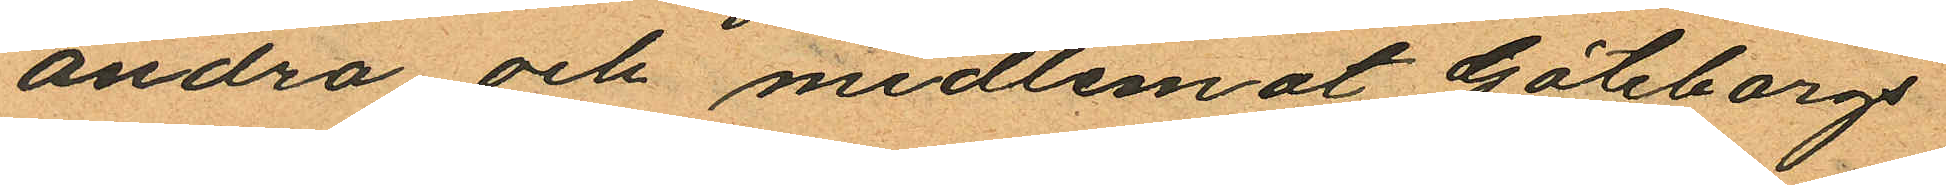andra och midtemot Göteborgs
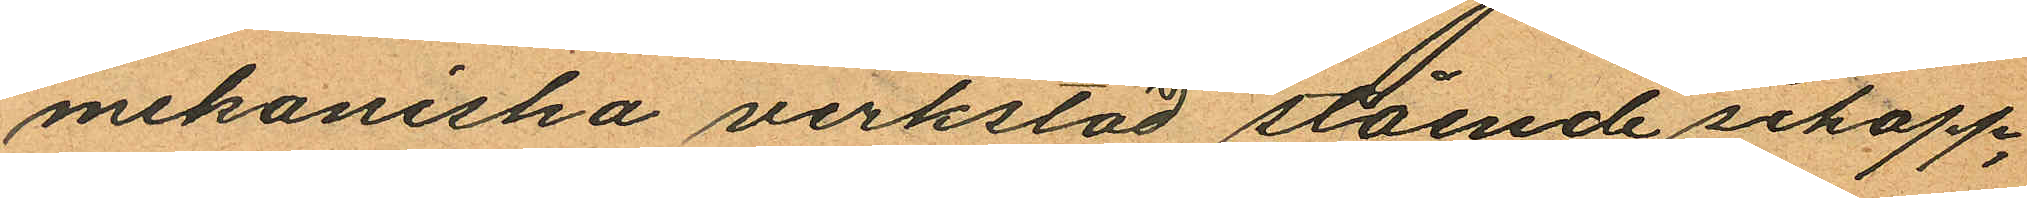mekaniska verkstad stående schapp,
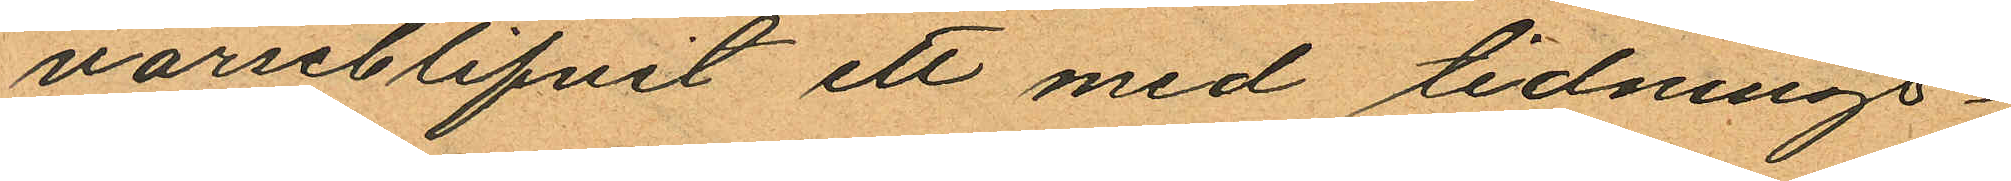varseblifvit ett med tidnings¬
